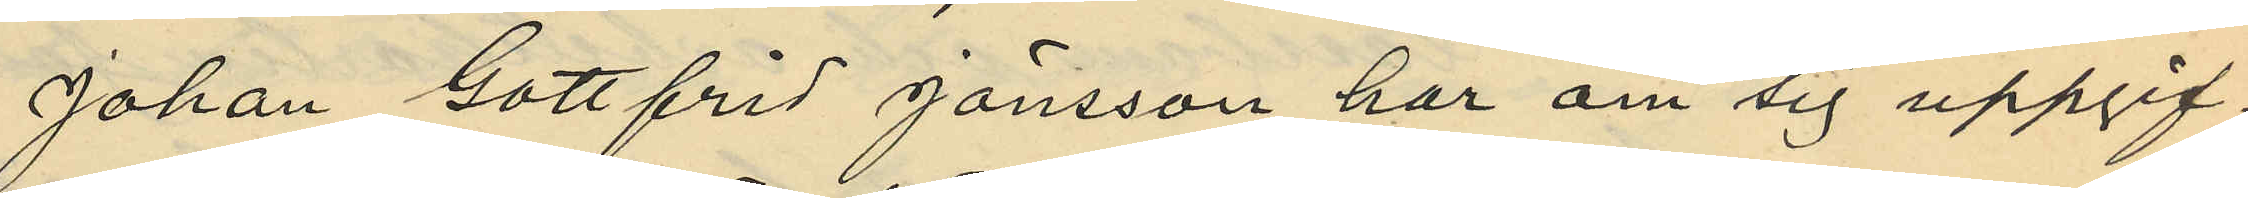Johan Gottfrid Jönsson har om sig uppgif¬
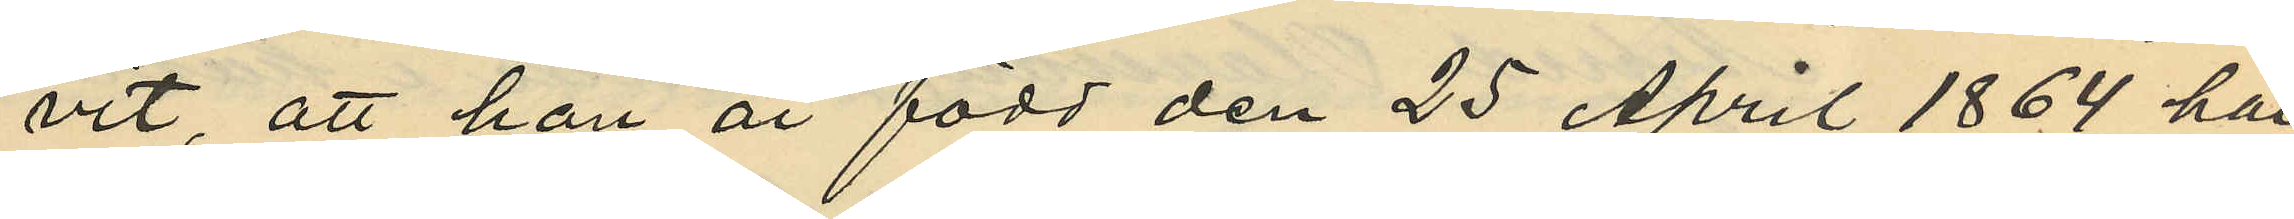vit, att han är född den 25 April 1864 har
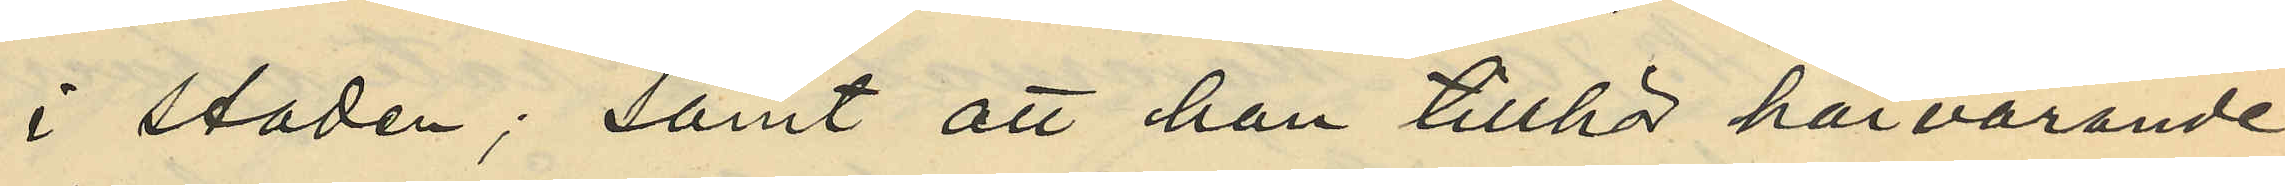i staden; samt att han tillhör härvarande
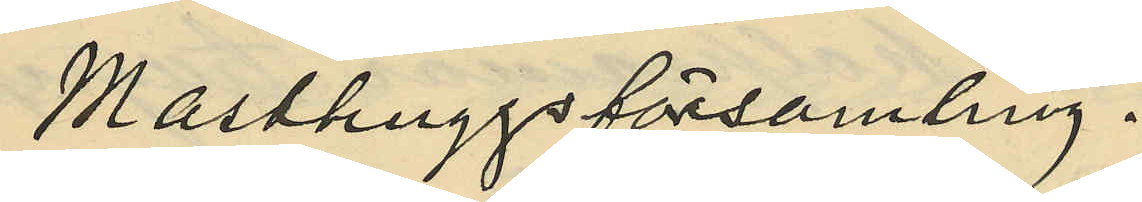Masthuggsförsamling.
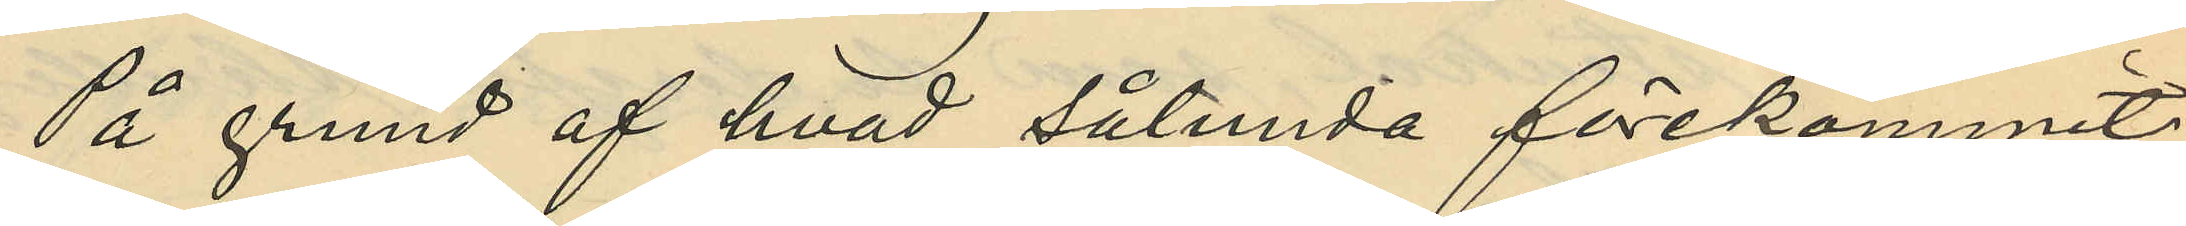På grund af hvad sålunda förekommit
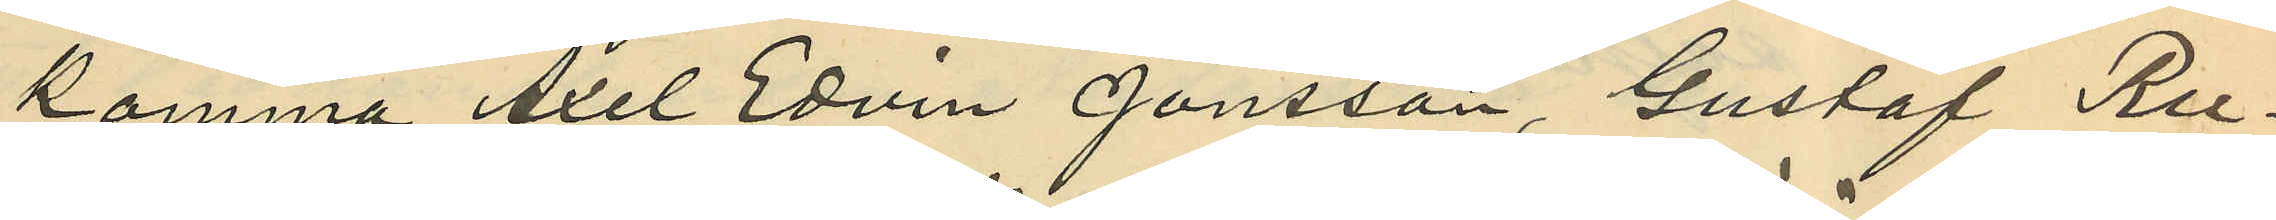komma Axel Edvin Jönsson, Gustaf Ru¬
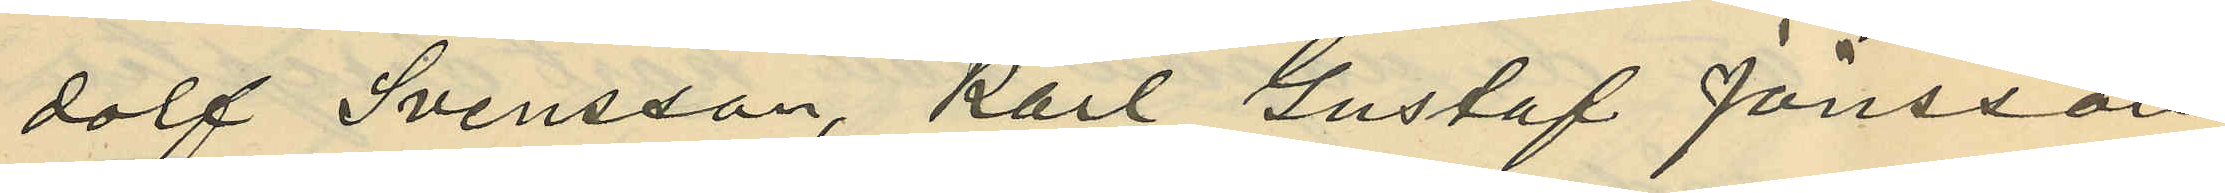dolf Svensson, Karl Gustaf Jönsson
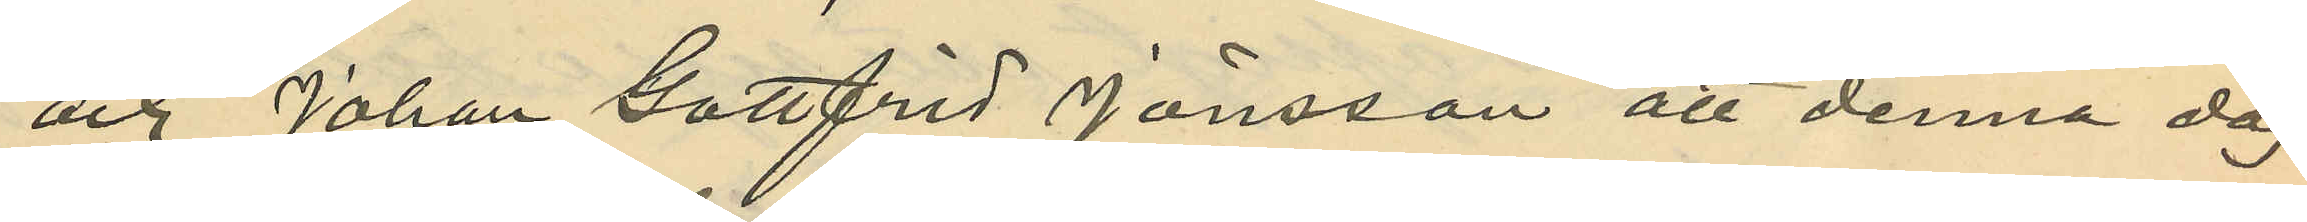och Johan Gottfrid Jönsson att denna dag
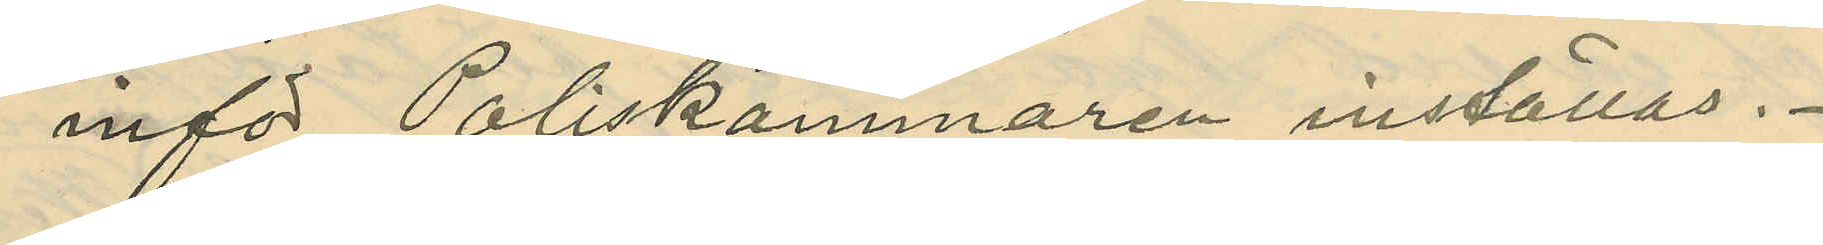inför Poliskammaren inställas.
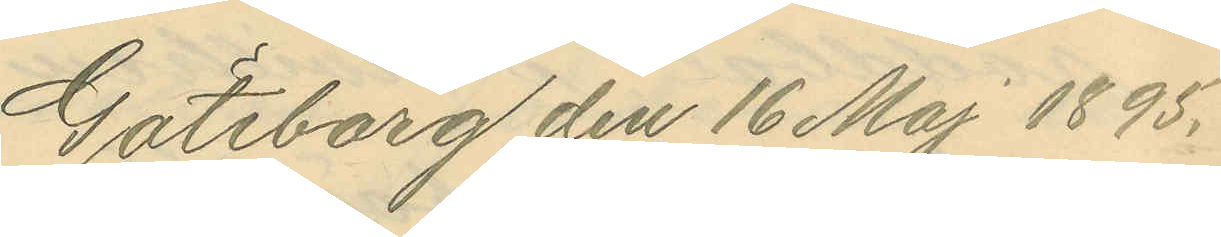Göteborg den 16 Maj 1895.
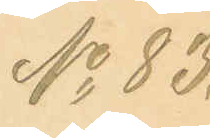No 83.
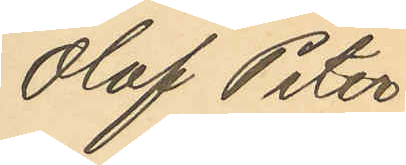Olof Peter
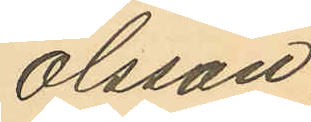Olsson,
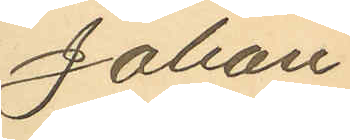Johan
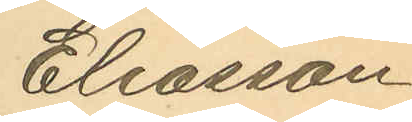Eliasson
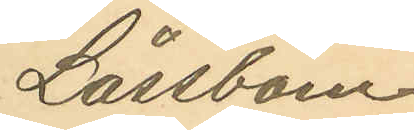Låssbom
